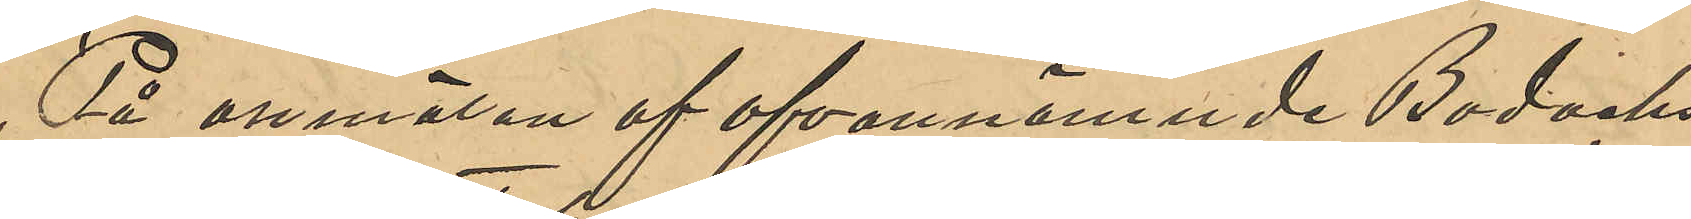På anmälan af ofvannämnde Bodachs
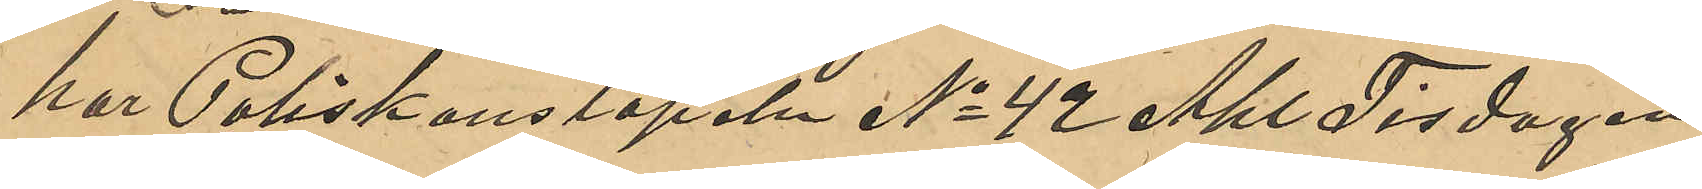har Poliskonstapeln No 42 Ahl Tisdagen
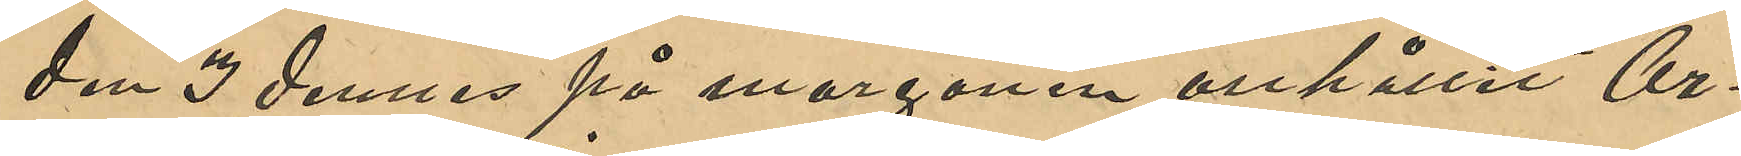den 3 dennes på morgonen anhållit Ar¬
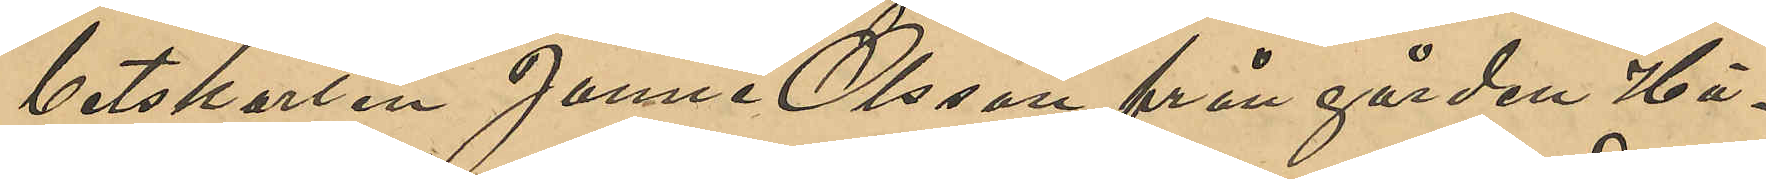betskarlen Janne Olsson från gården Hä¬
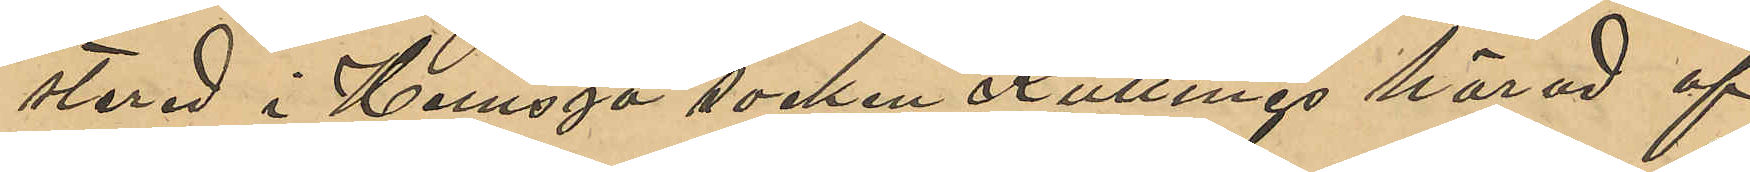stered i Hemsjö socken Kullinge härad af
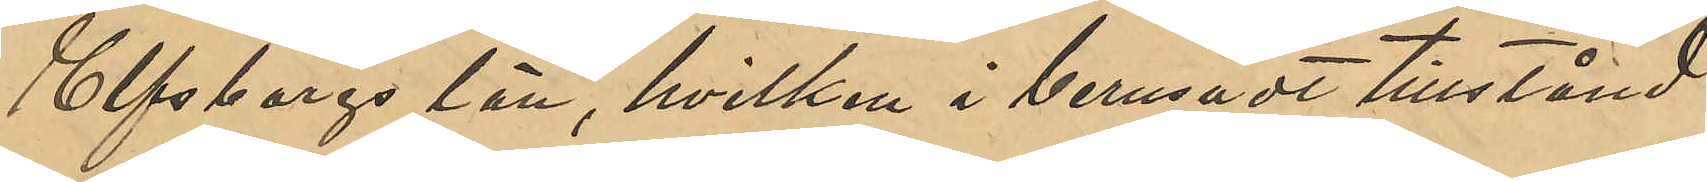Elfsborgs län, hvilken i berusadt tillstånd
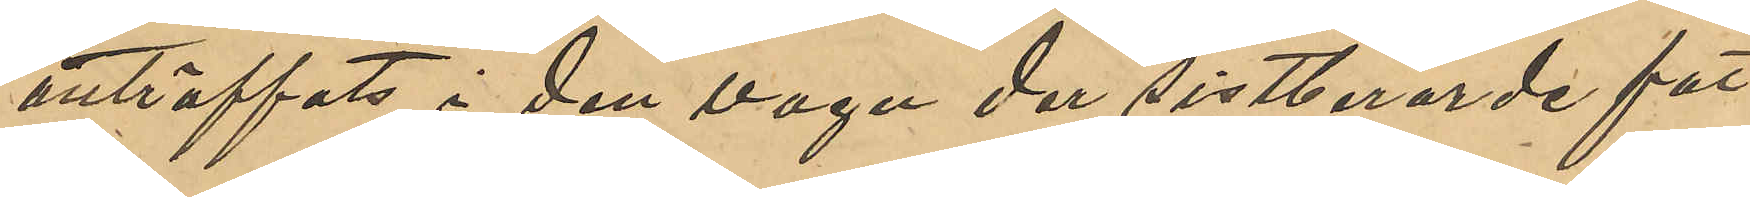anträffats i den vagn der sistberörde fat
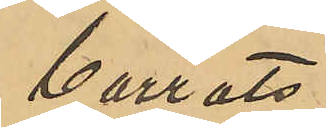borrats.
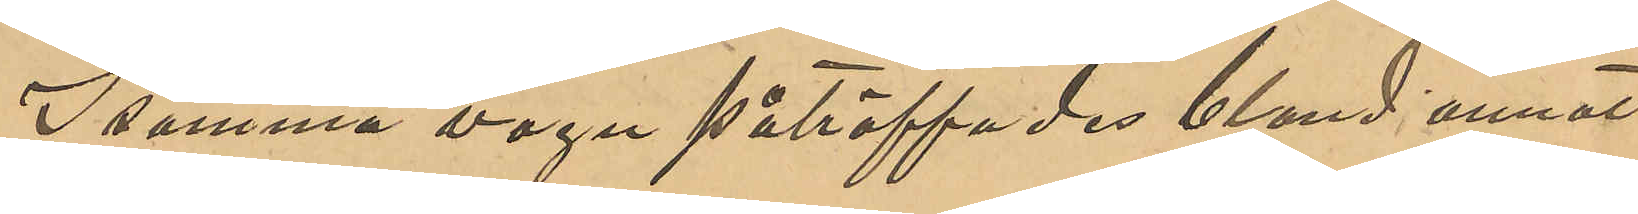I samma vagn påträffades bland annat
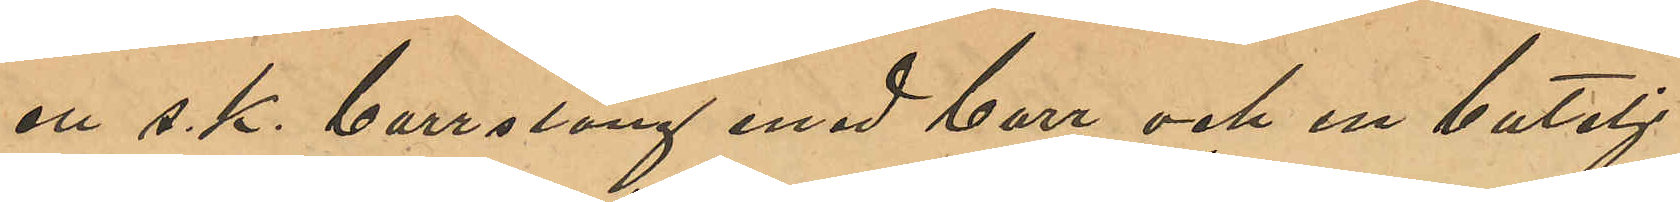en s. k. borrsläng med borr och en butelj
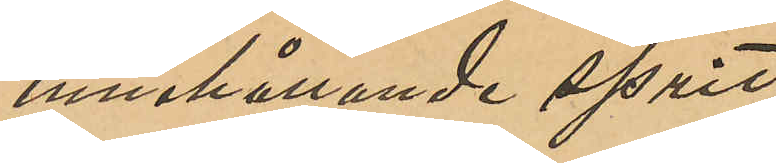innehållande sprit.
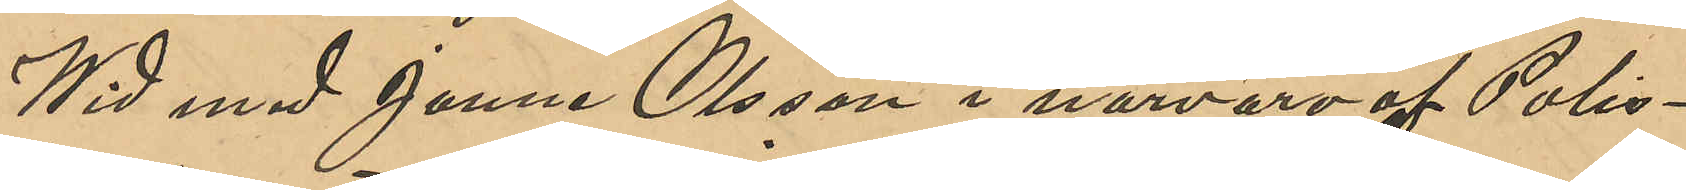Wid med Janne Olsson i närvaro af Polis¬
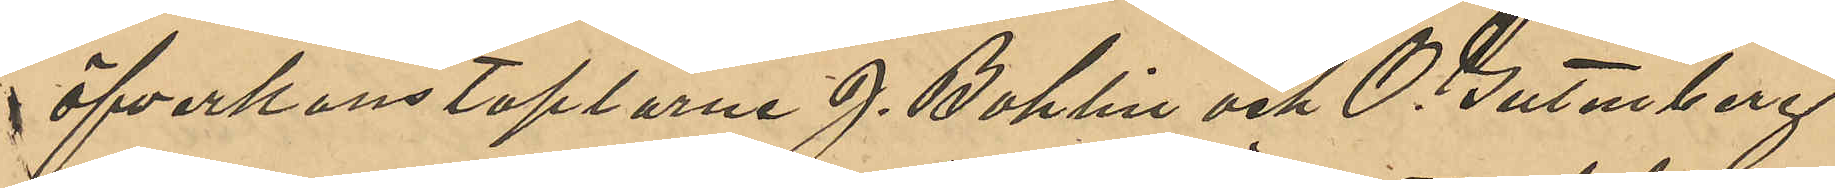öfverkonstaplarne J. Bohlin och O. Gutenberg
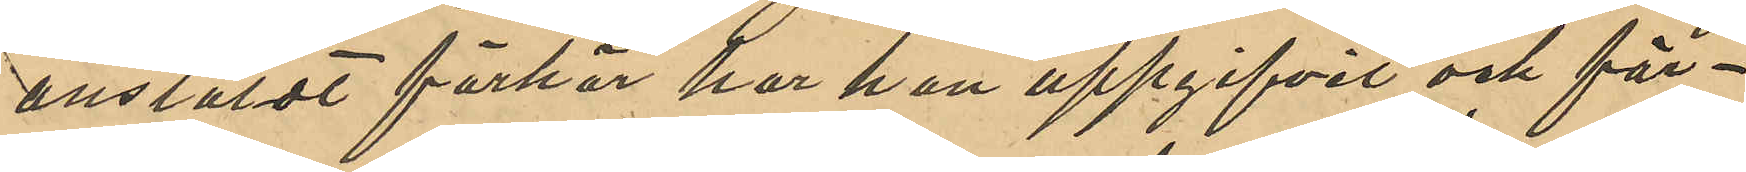anstäldt förhör har han uppgifvit och för¬
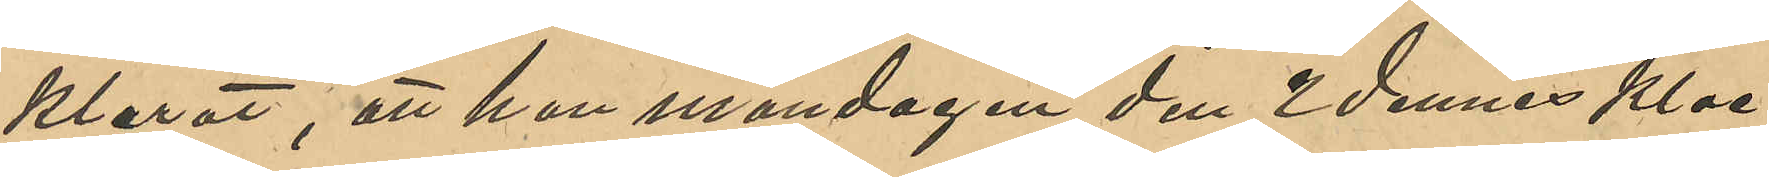klarat, att han måndagen den 2 dennes Kloc¬
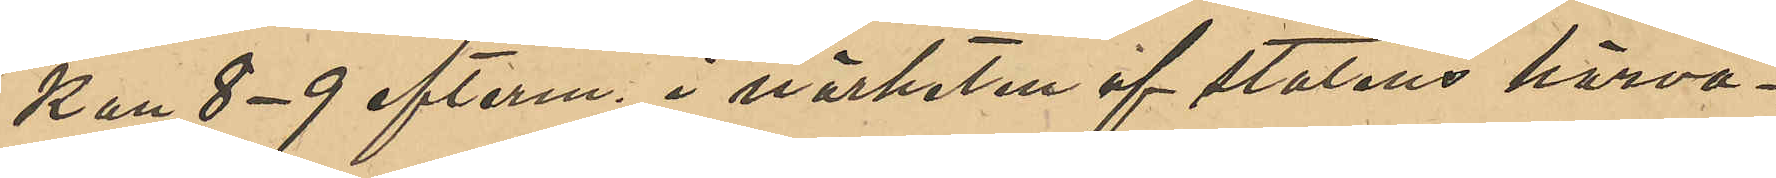kan 8-9 efterm. i närheten af statens härva¬
